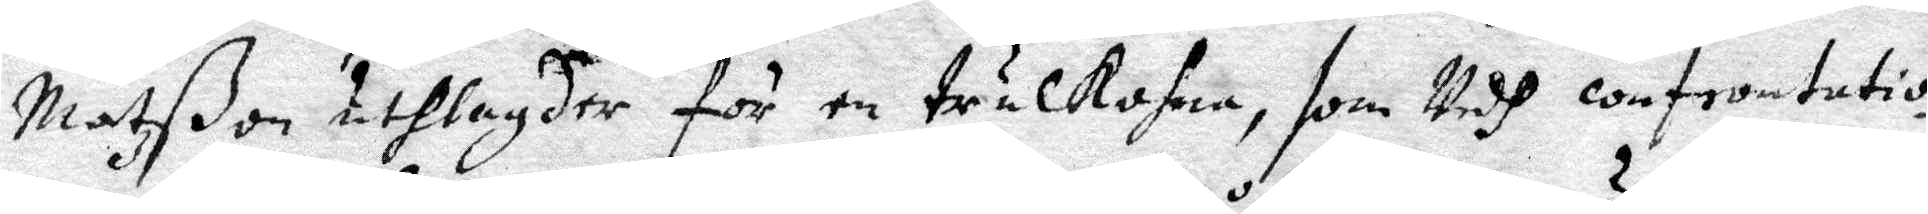Matßon utlagder för en trulkohna, som Vedh confrontatio¬
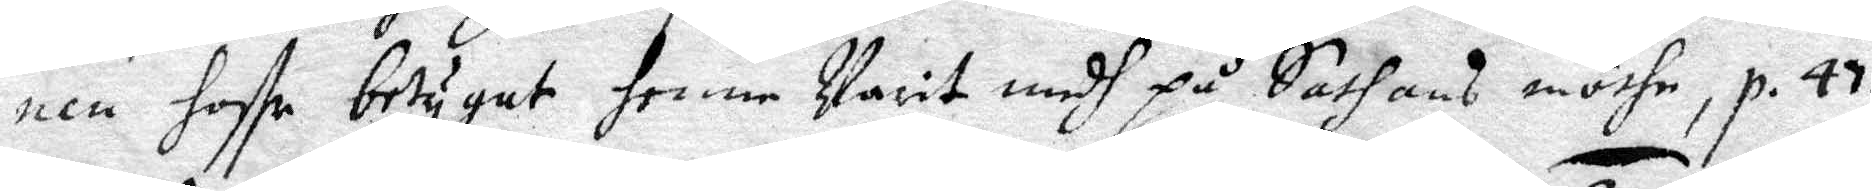nen haffr betygat henne Varit medh på Sathans möthe, p. 43.
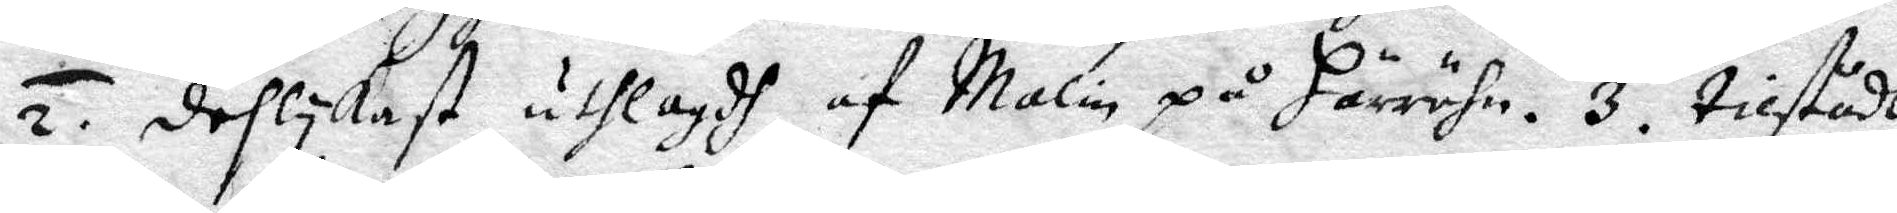2. Deslykast utlagdh af malin på Härröhn. 3. tilstådt
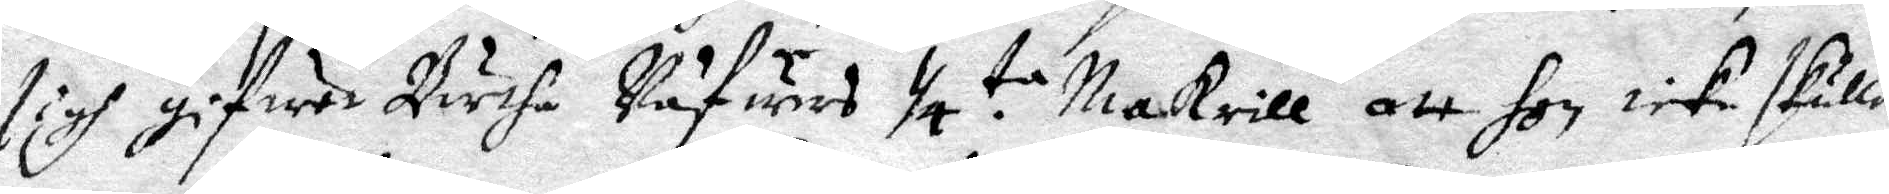sigh gifwet Börtha Väfwers 1/4 ta. Makrill att hon icke skulle
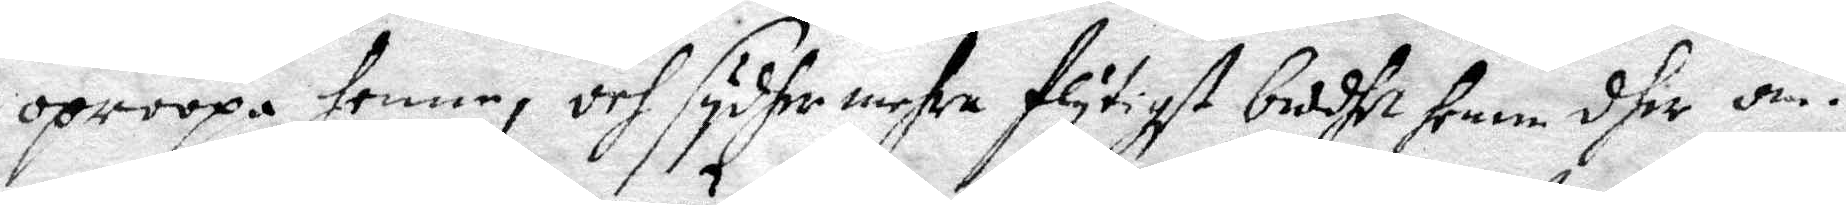oproopa henne, och sydhermehra flytigst beddeth henne dher om.
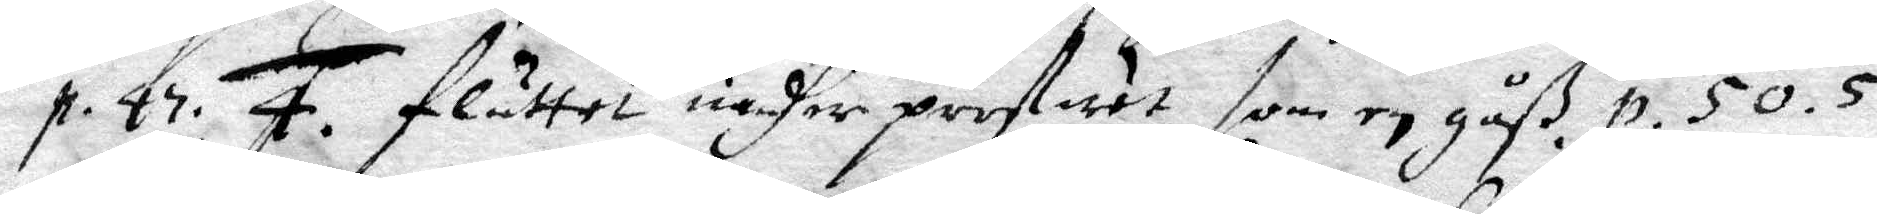p. 47. 4. Fluttet undher profwet som en gåß. p. 50. 5.
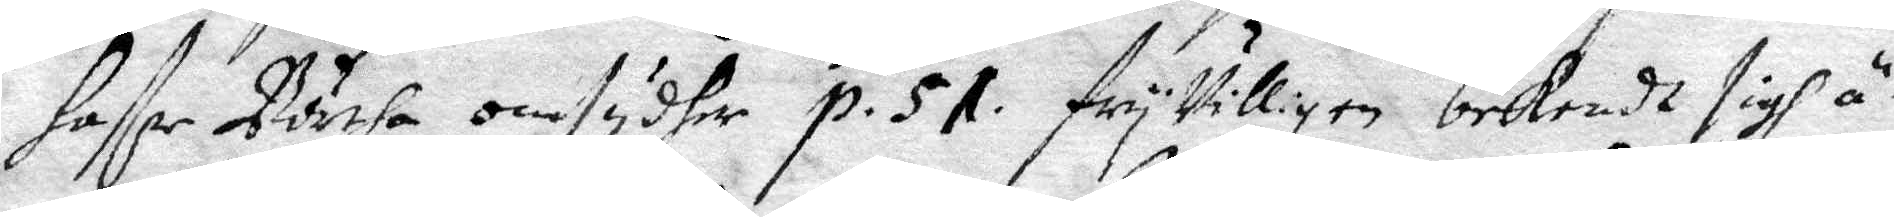haffr Börtha omsydher p. 51. fryVilligen bekendt sigh ä¬
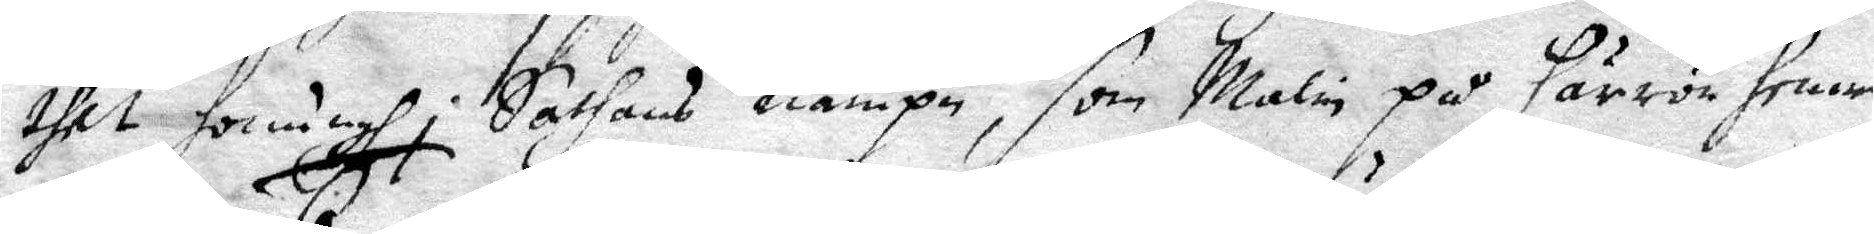thet honungh i Sathans nampn, som malin på Härrön henne
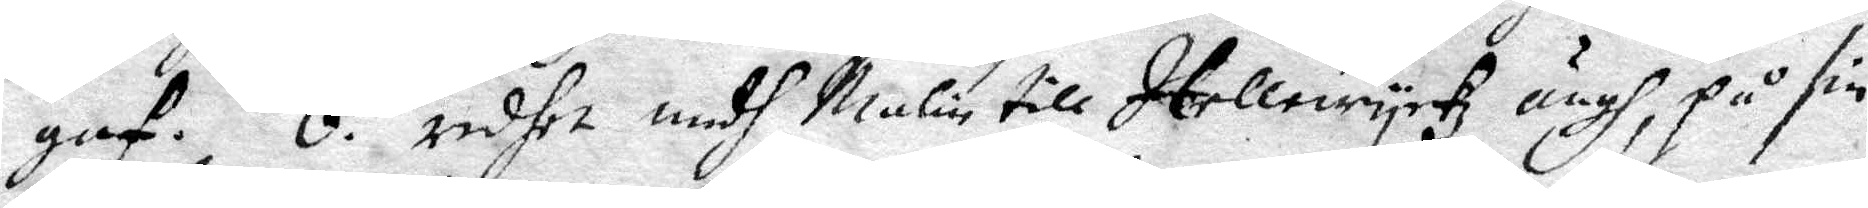gaf. 6. redhet medh Malin till Itellewyckz ängh, på sin
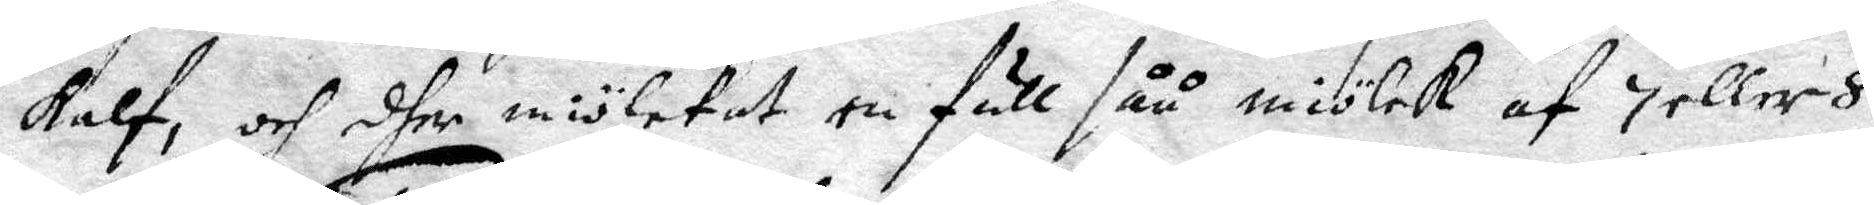kalf, och dher miölckat en full såå miölck af 7 eller 8
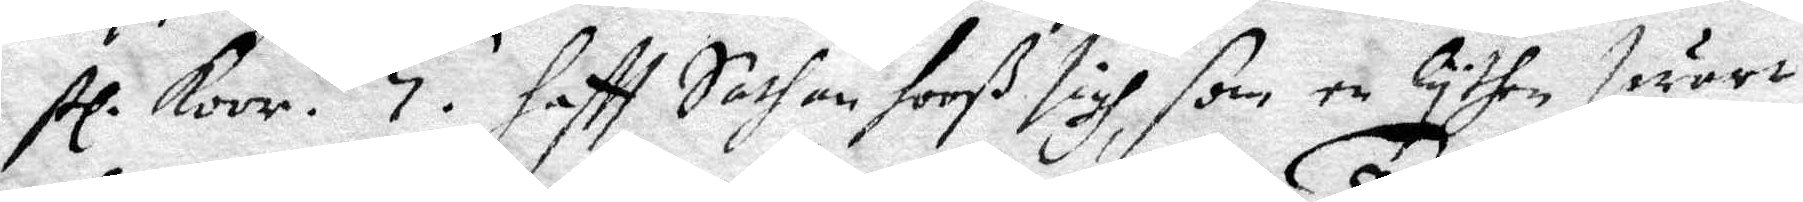st. koor. 7. hafft Sathan hooß sigh, som en lythen swart
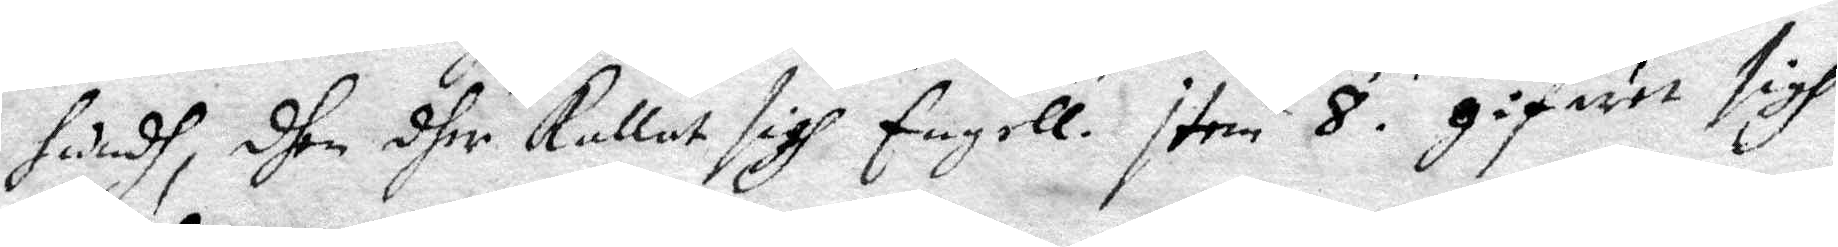hundh, dhen dher kallat sigh Engell. item 8. gifuet sigh
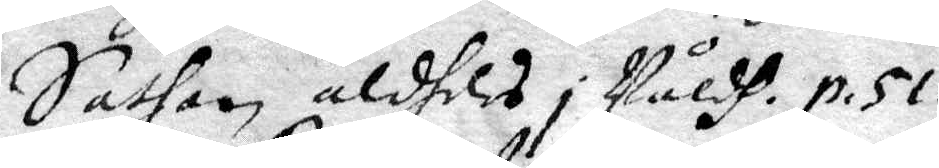Sathan aldeles i Våldh. p. 51.
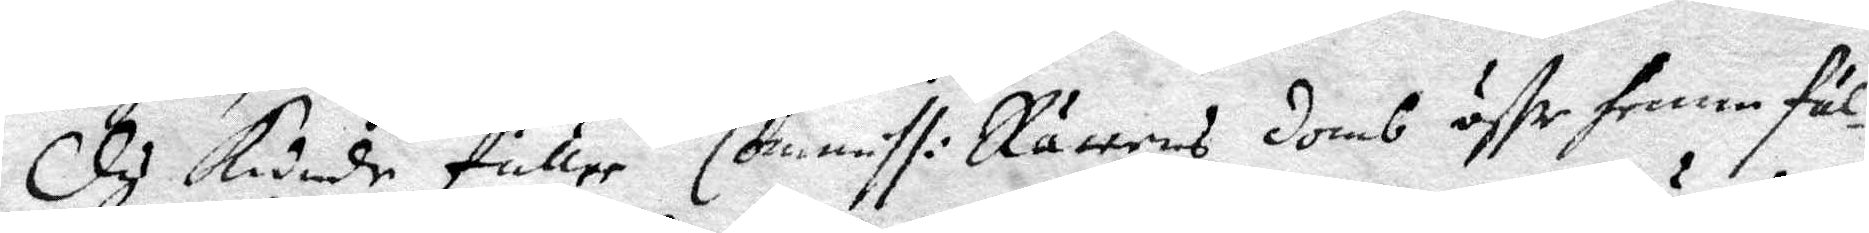Dy kunde fuller Commiss: Rättens domb öffr henne fäl¬
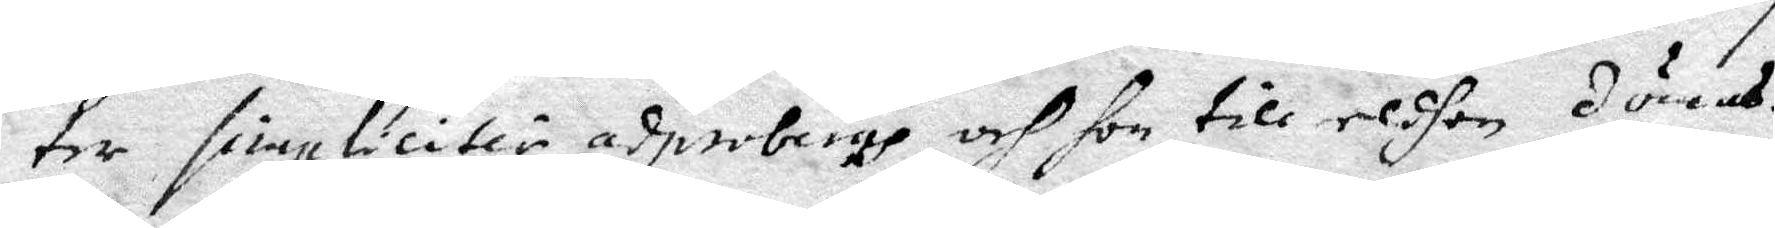ter simpliciter adproberas, och hon till eldhen dömas.
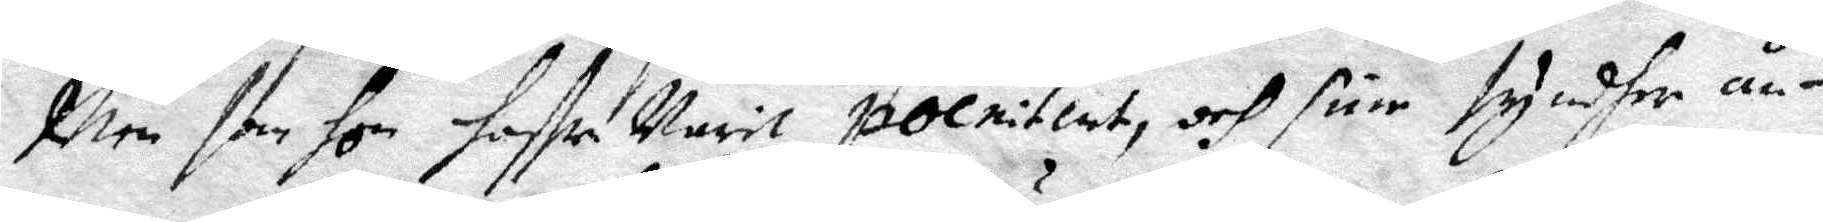Men som hon haffr varit pocnitent, och sine syndher ån¬
